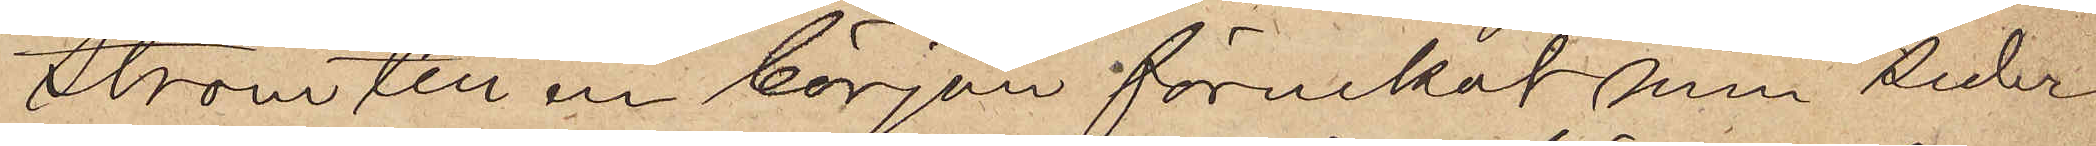ström till en början förnekat men seder¬
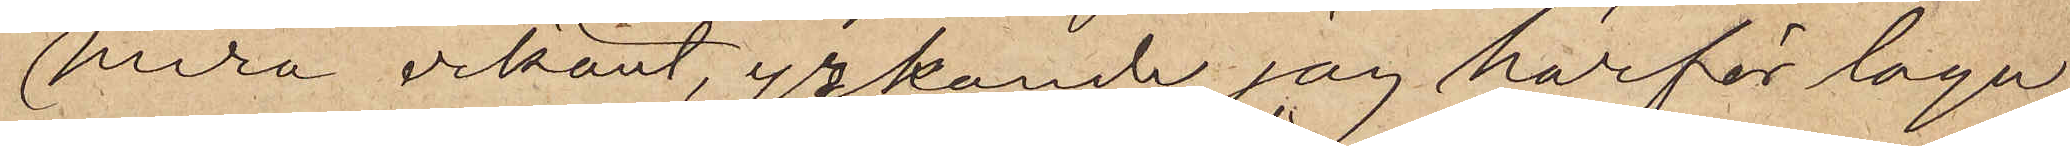mera erkänt, yrkande jag härför laga
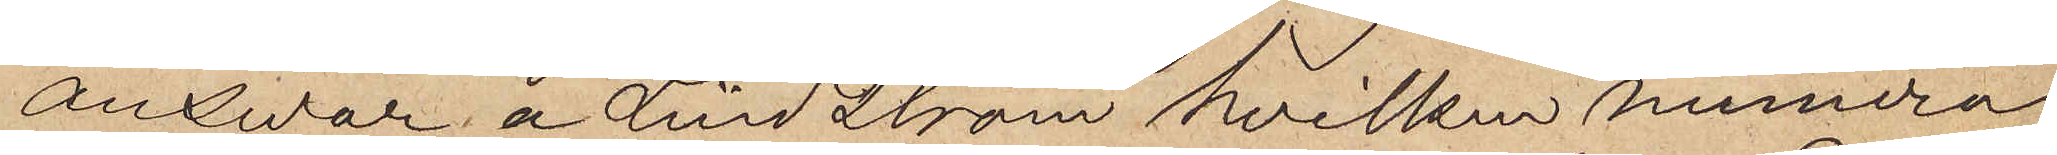ansvar å Lindström hvilken numera
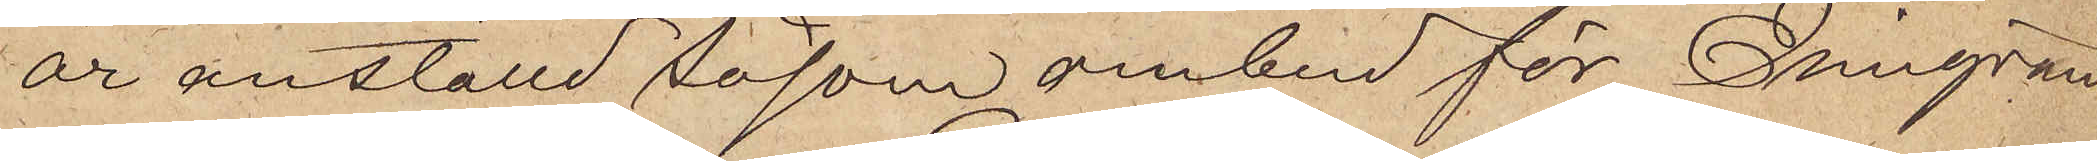är anställd såsom ombud för Emigran¬
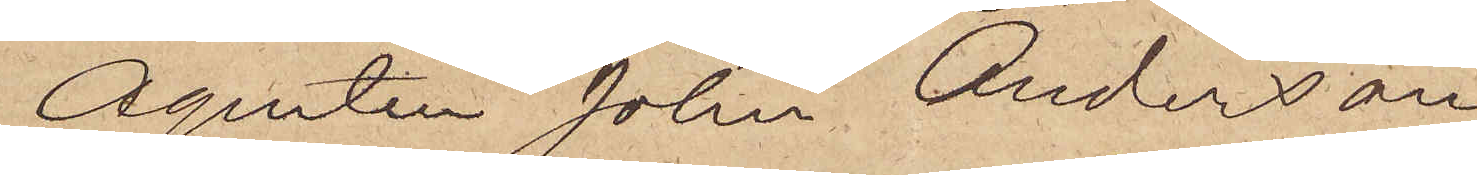Agenten John Anderson
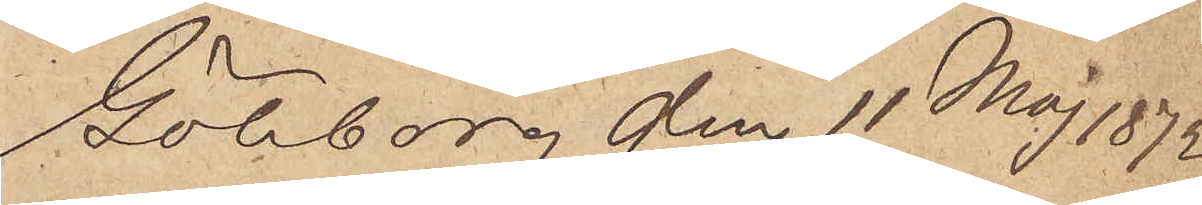Göteborg den 11 Maj 1872
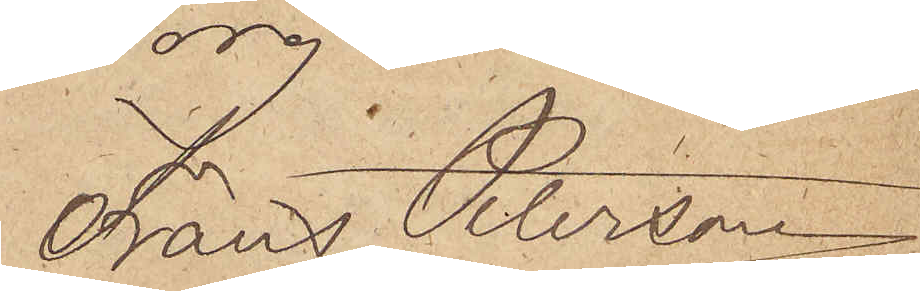Frans Peterson
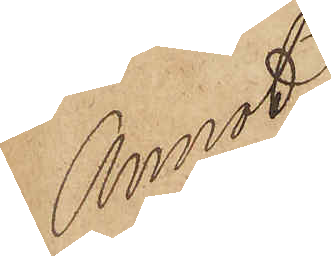Annot
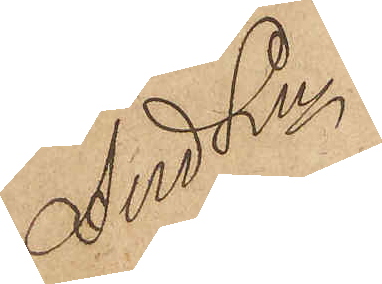And Ln 
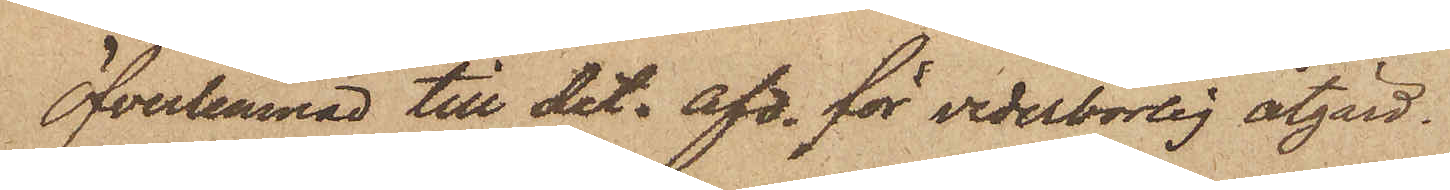Öfverlemnad till det. afd. för vederbörlig åtgärd.
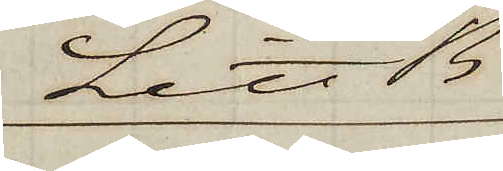Litt B. 
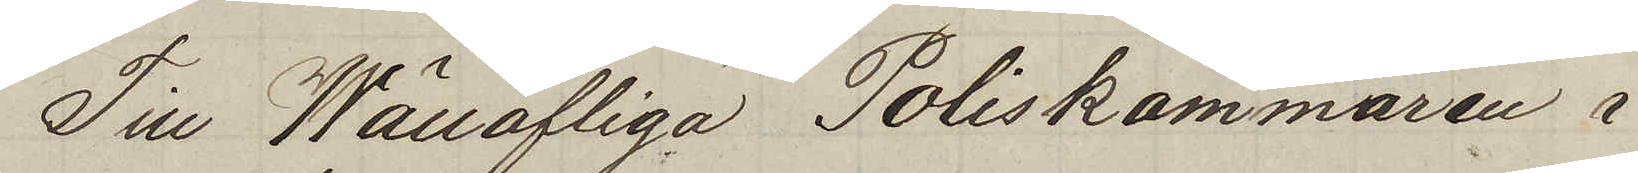Till Wällofliga Poliskammaren i
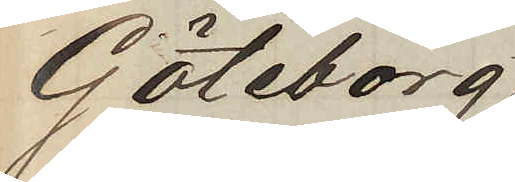Göteborg
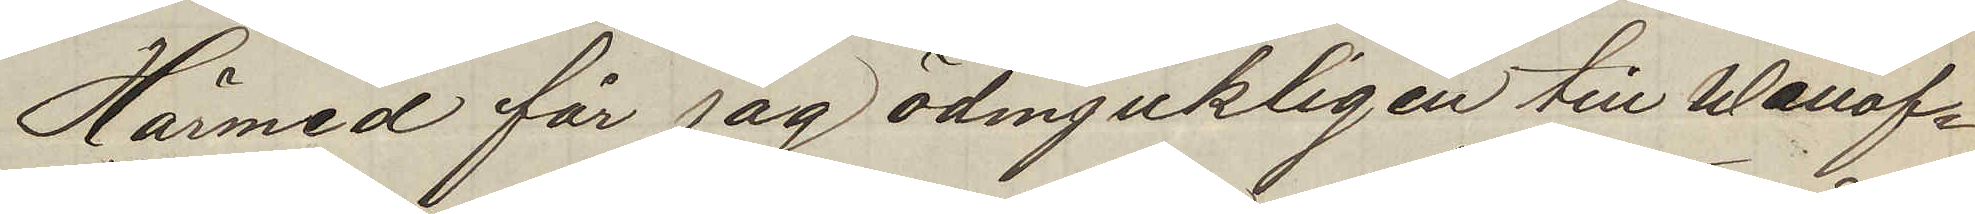Härmed får jag ödmjukligen till Wällof¬
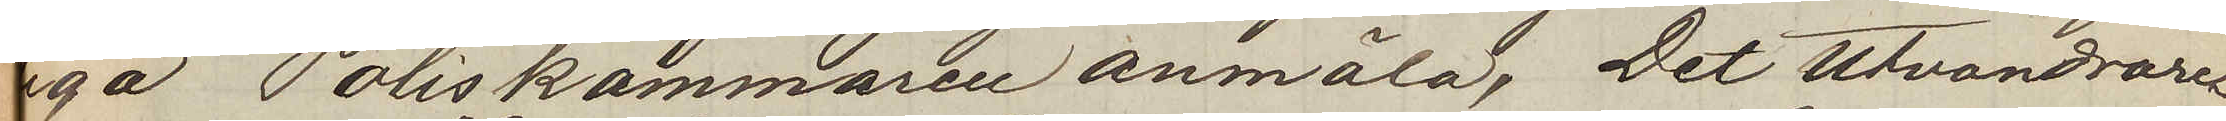liga Poliskammaren anmäla, Det Utvandrare¬
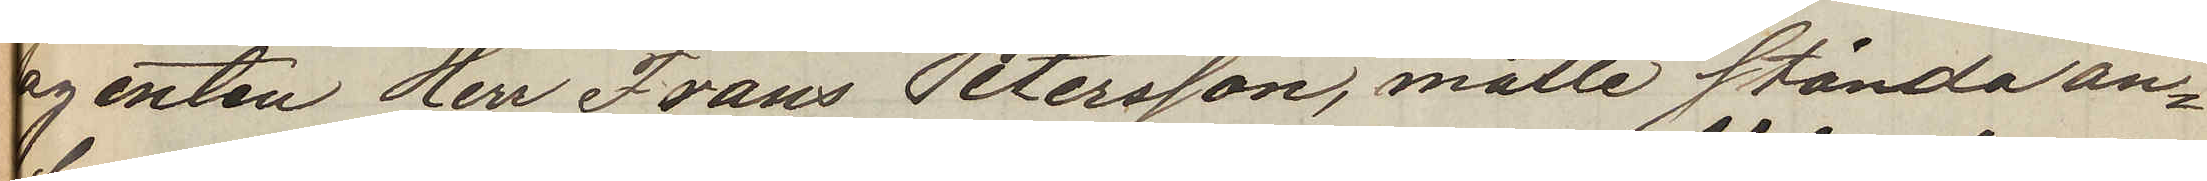agenten Herr Frans Petersson, måtte stånda an¬
